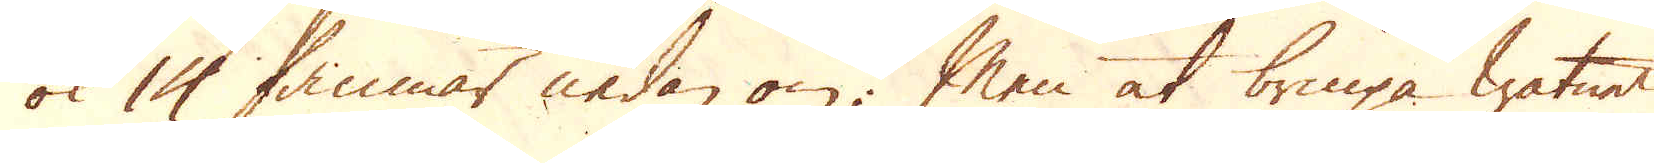ok 14 famnar nedan om; Men at bringa watnet
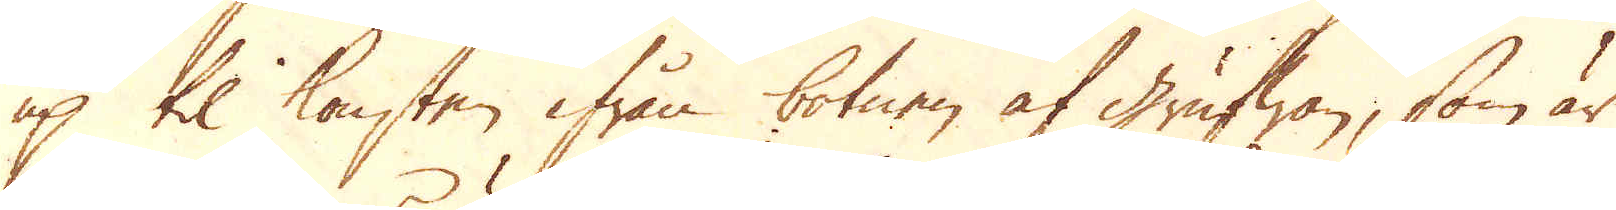up til konsten ifrån botnen af Grufwan, som är
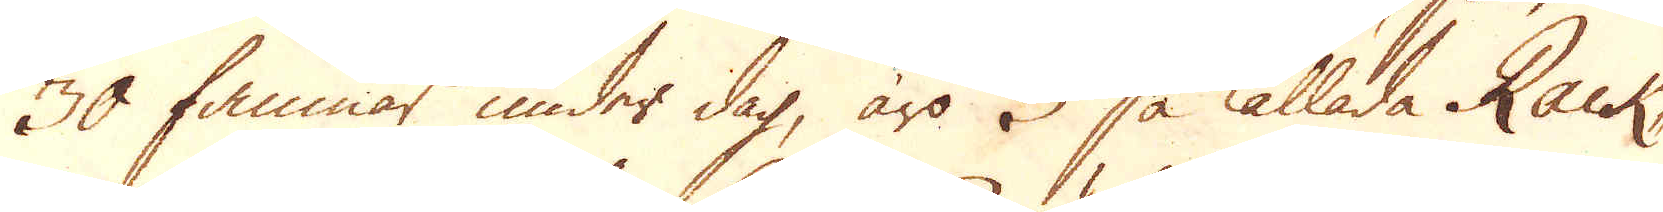30 famnar under dag, äro 3 så kallade Rack-
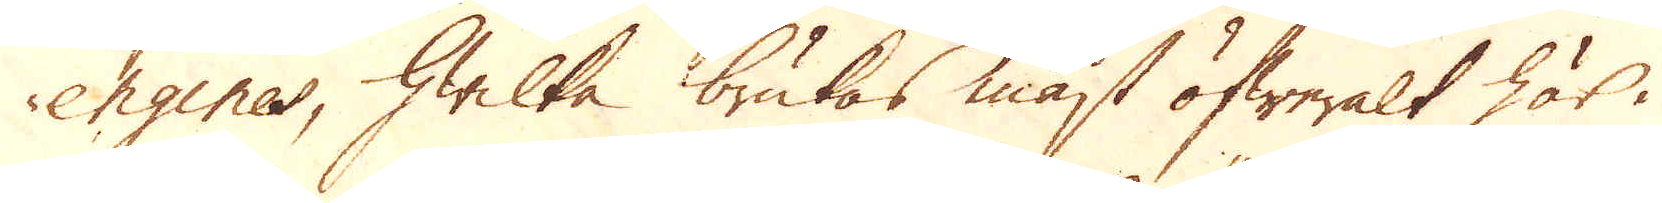engines, hwilka brukas mäst öfweralt här i
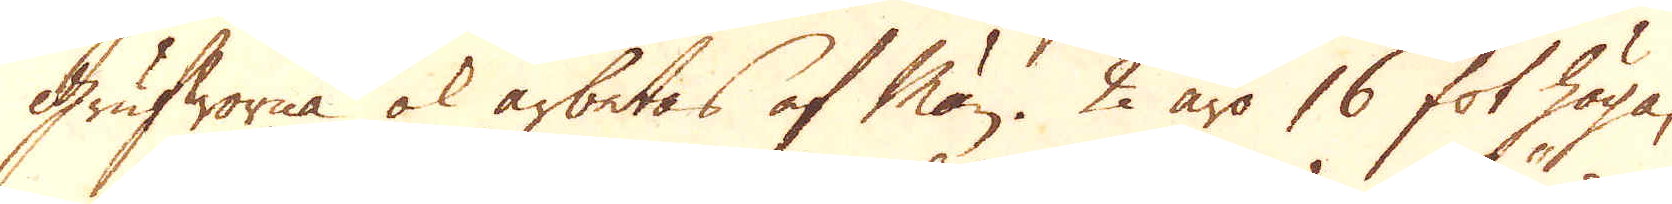Grufworna ok arbetas af Män. 2 äro 16 fot höga,
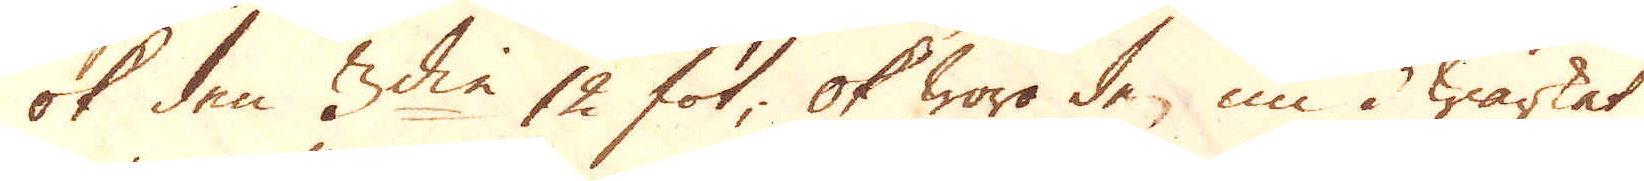ok den 3:die 12 fot; ok woro de nu i wärket
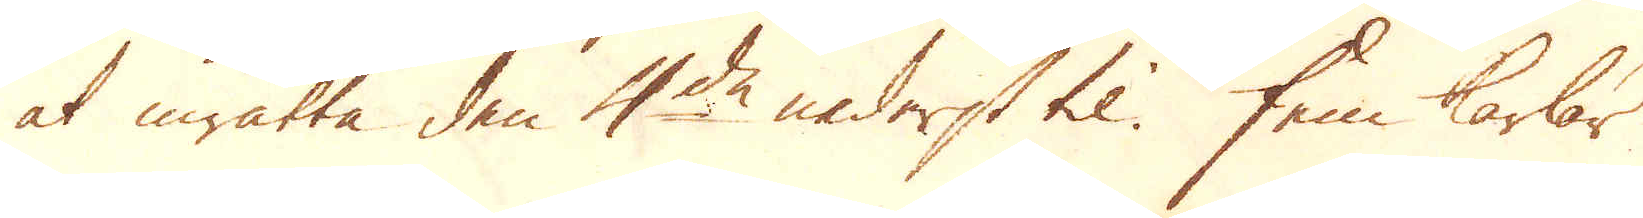at inrätta den 4:de nederst til. Fem karlar
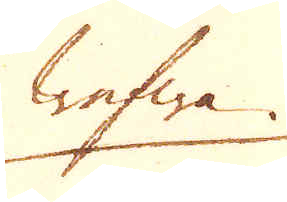wefwa
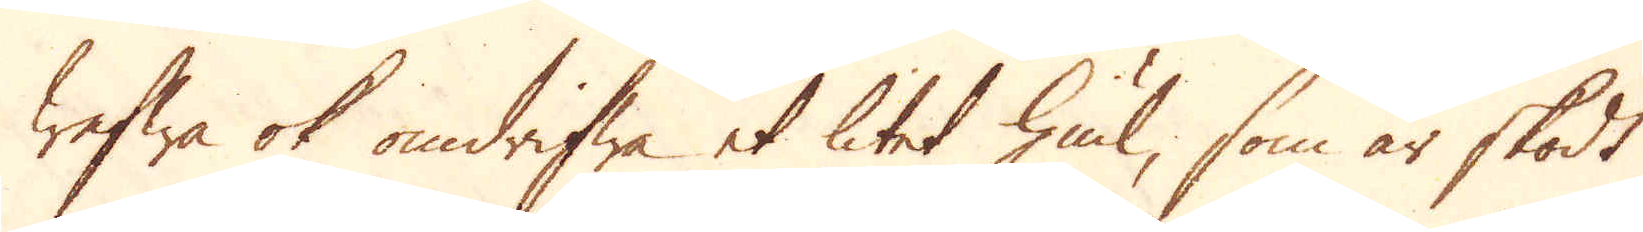wefwa ok omdrifwa et litet hiul, som är skodt
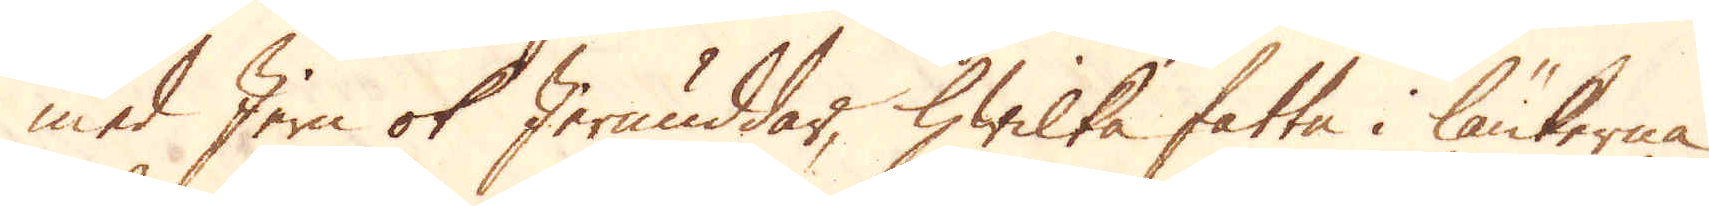med Jern ok Jernuddar, hwilka fatta i länkerna
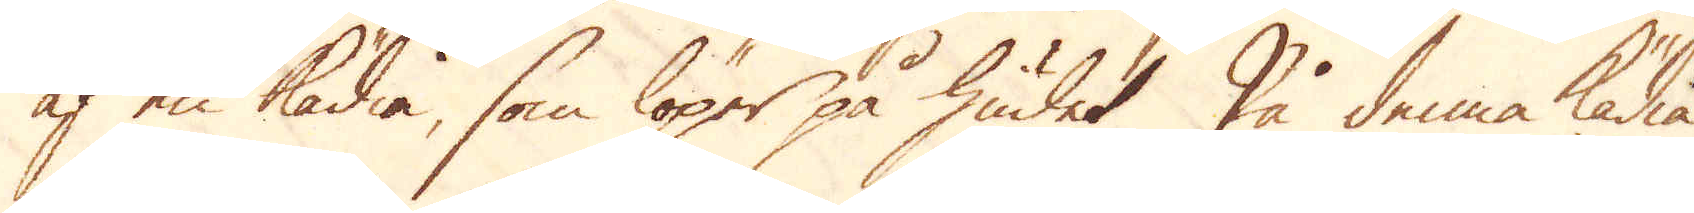af en Kädia, som löper på hiulet. På denna kädia
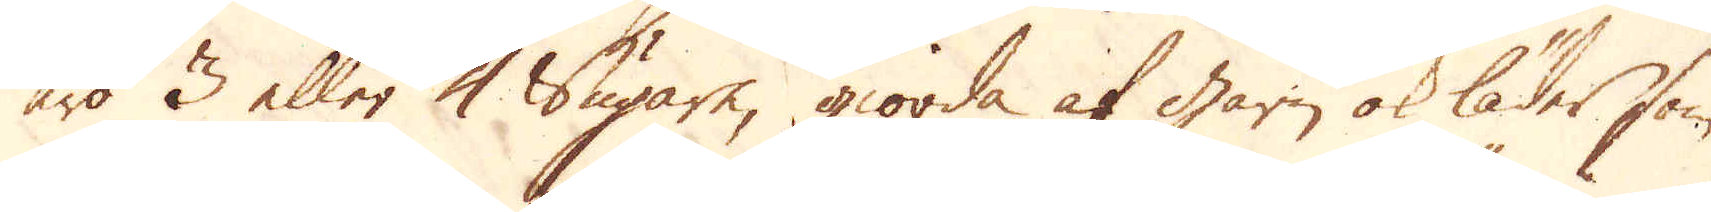äro 3 eller 4 Sugare, giorda af garn ok läder som
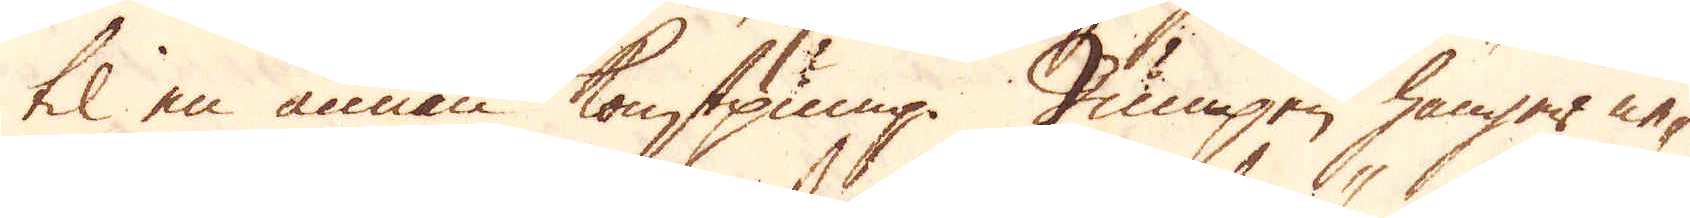til en annan konstpump. Pumpen hänger ne-
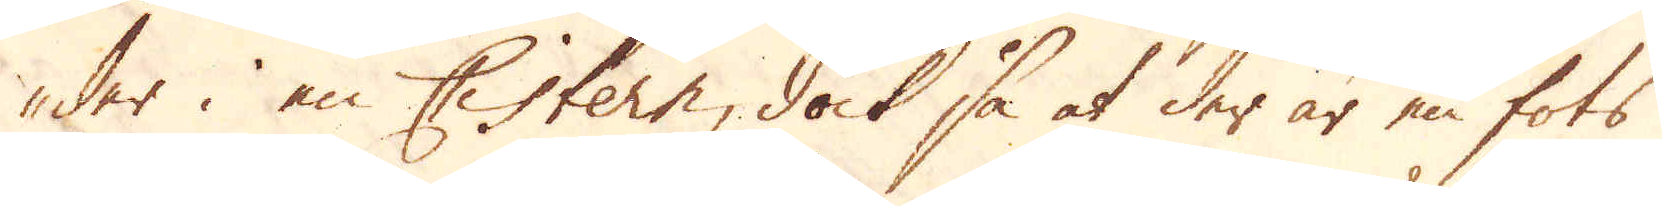der i en Cistern, dock så at der är en fots
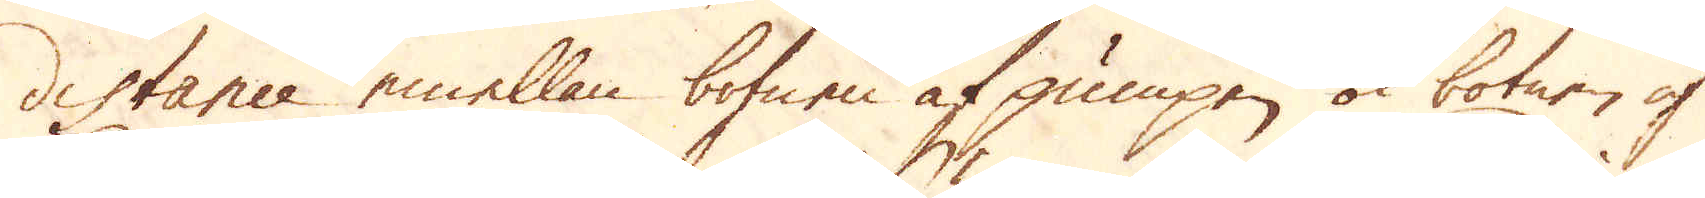distance emellan botnen af pumpen ok botnen af
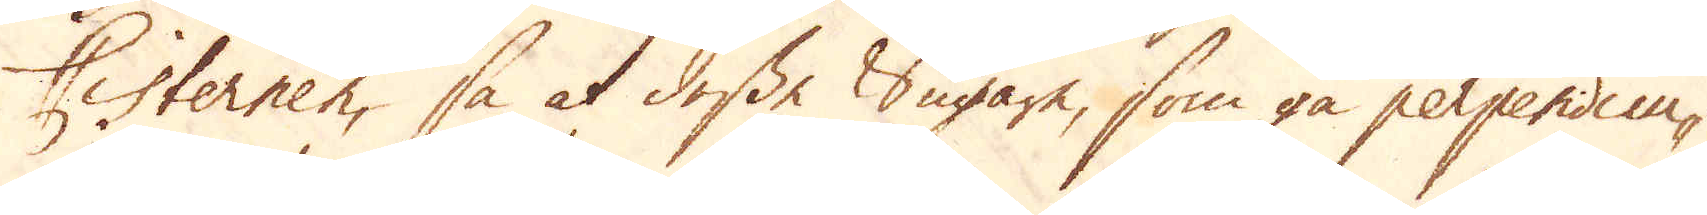Cisternen, så at dessa Sugare, som gå perpendicu-
